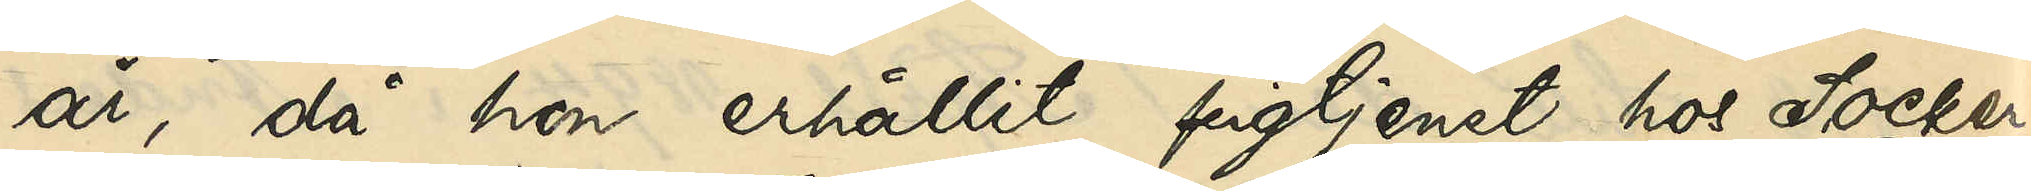år, då hon erhållit pigtjenst hos Socker¬
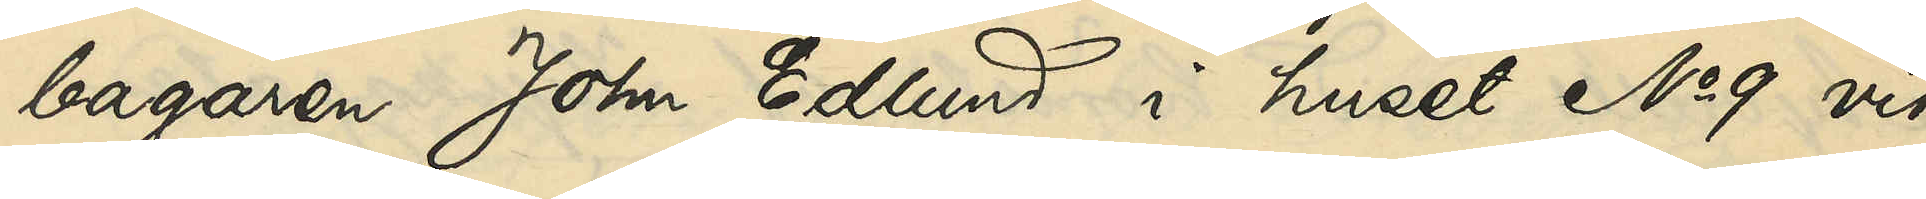bagaren John Edlund i huset No 9 vid
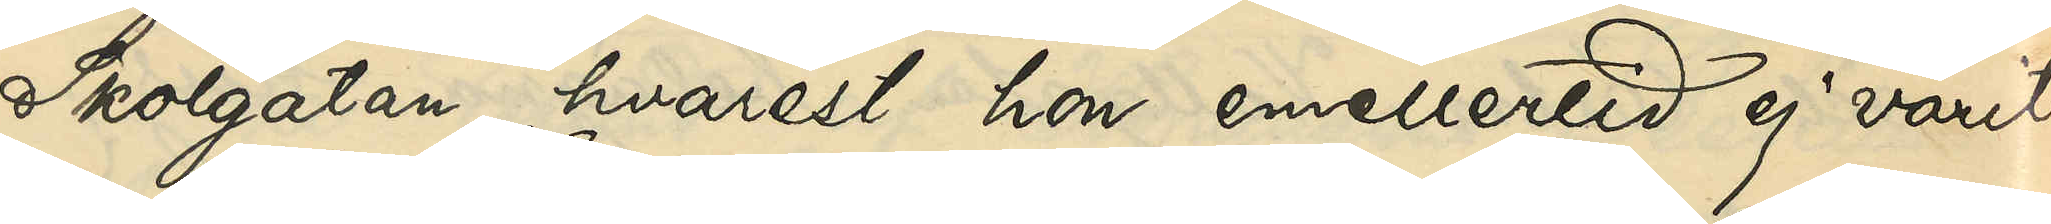Skolgatan, hvarest hon emellertid ej varit
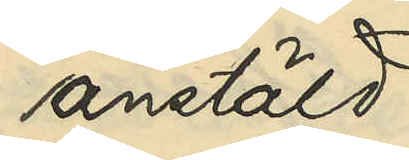anstäld
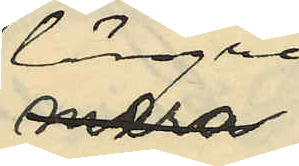längre
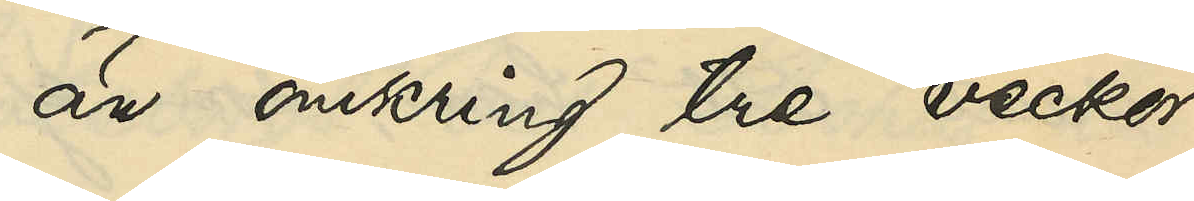än omkring tre veckor
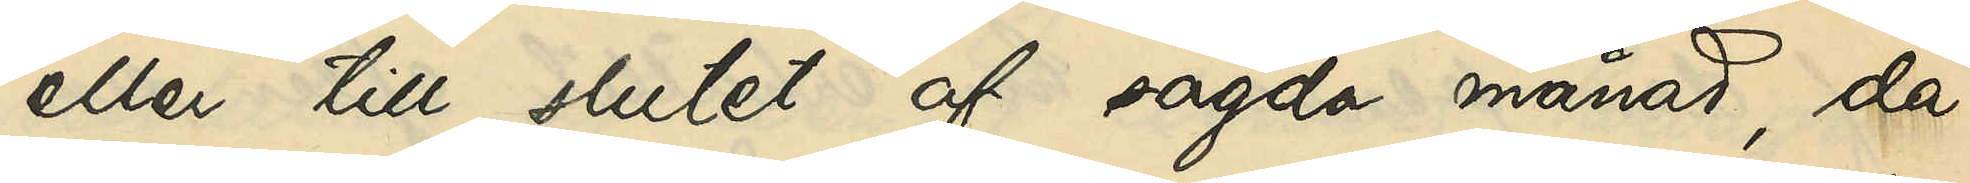eller till slutet af sagda månad, då
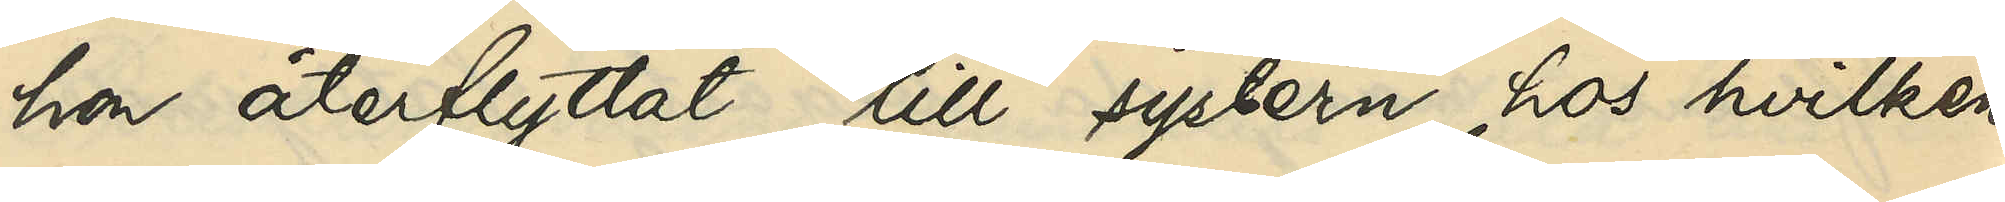hon återflyttat till systern, hos hvilken
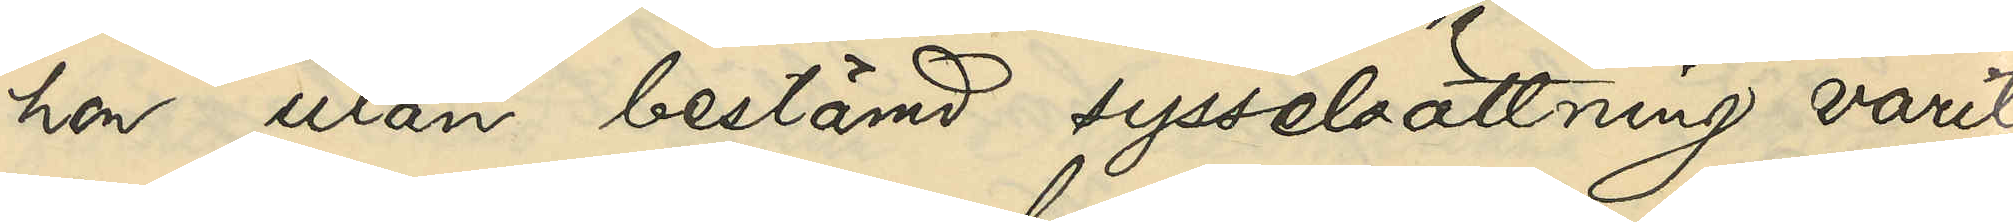hon utan bestämd sysselsättning varit
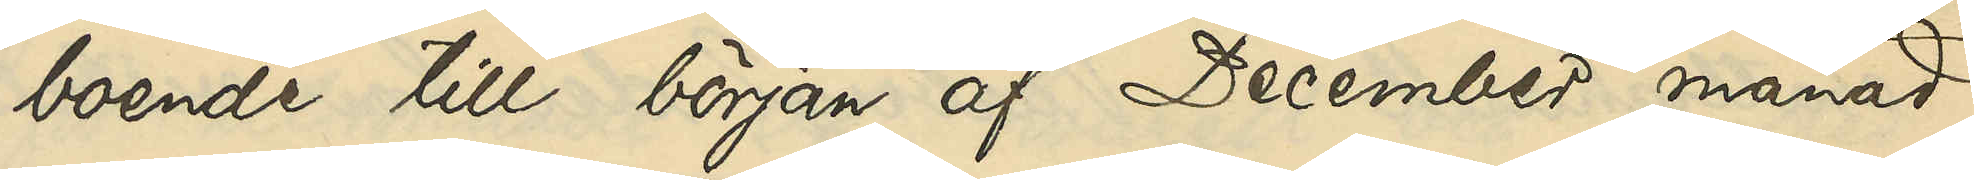boende till början af December månad
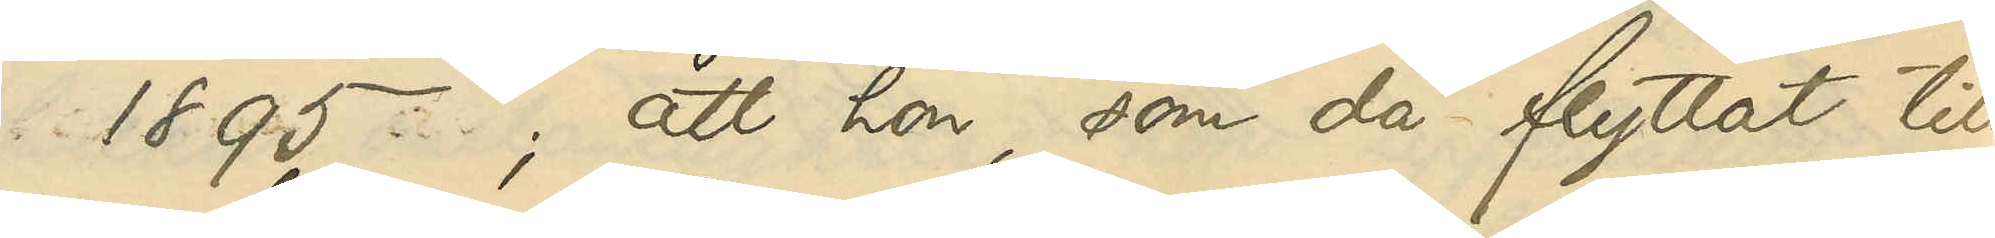1895; att hon, som då flyttat till
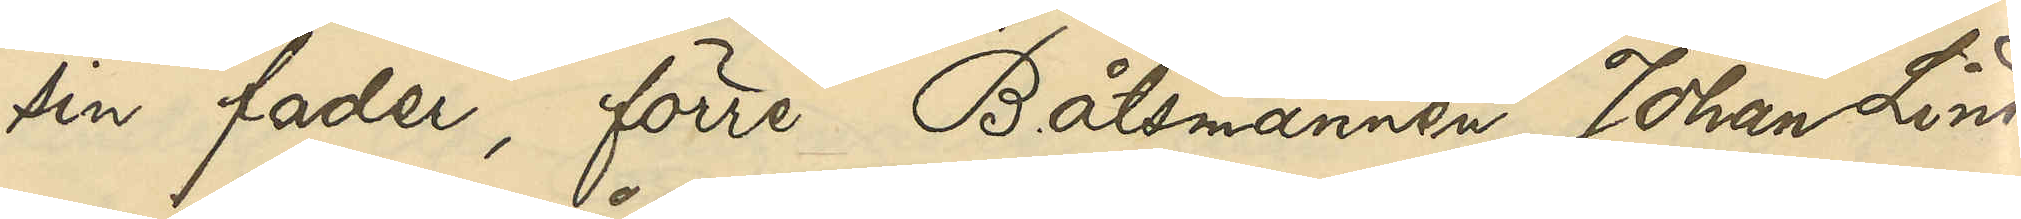sin fader, förre Båtsmannen Johan Lind¬
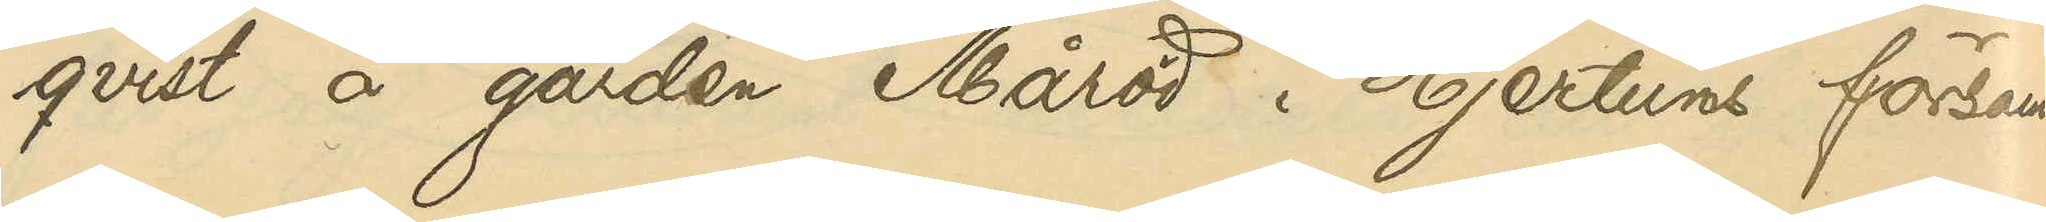qvist å gården Måröd i Hjertums försam¬
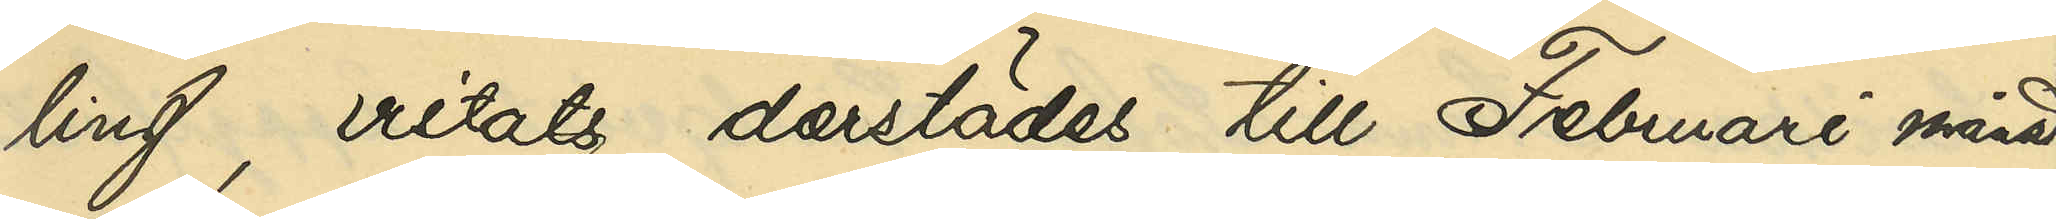ling, vistats derstädes till Februari månad
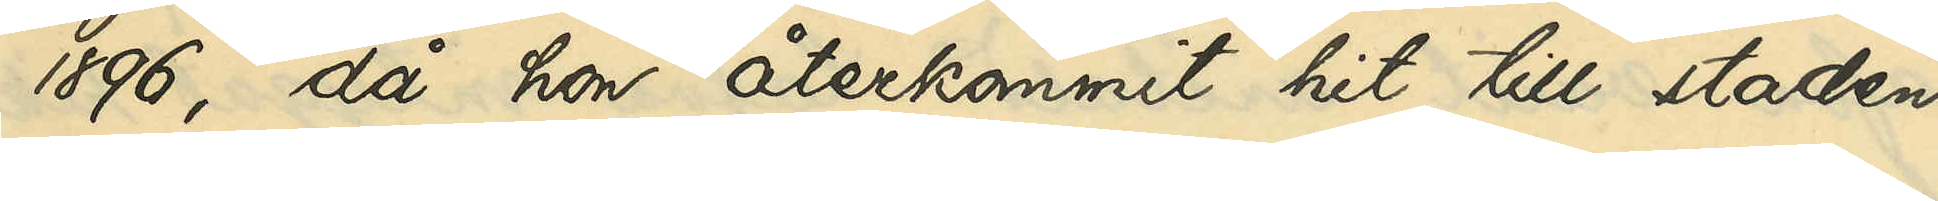1896, då hon återkommit hit till staden
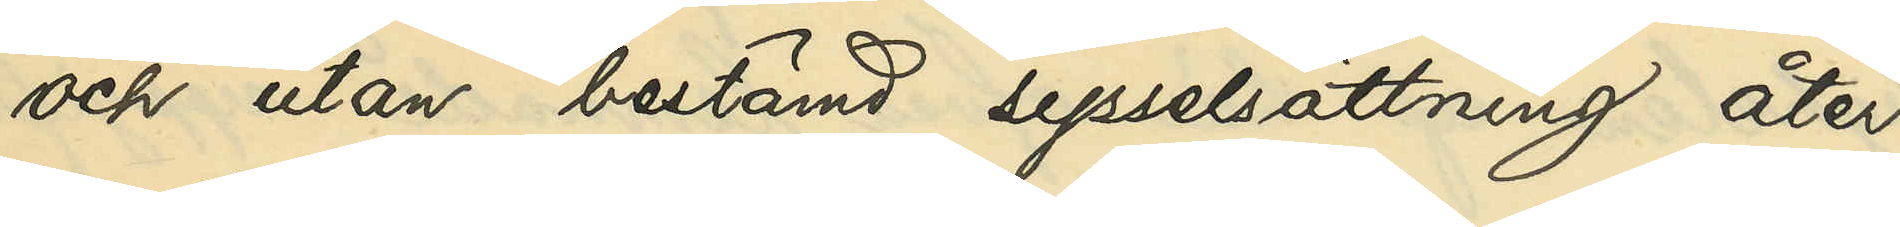och utan bestämd sysselsättning åter
